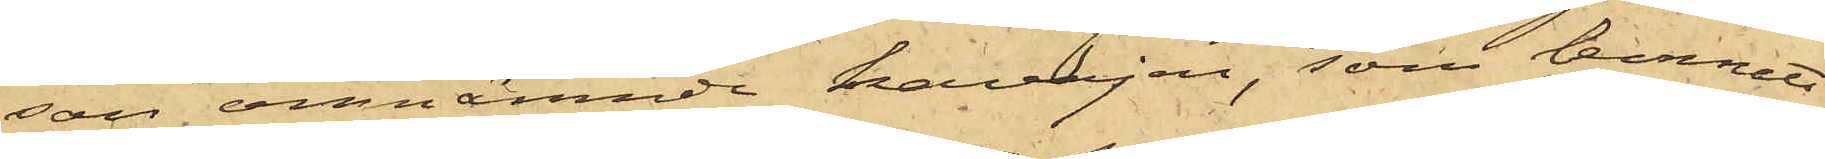son omnämnde kavajen, som lemnats
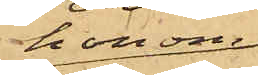honom
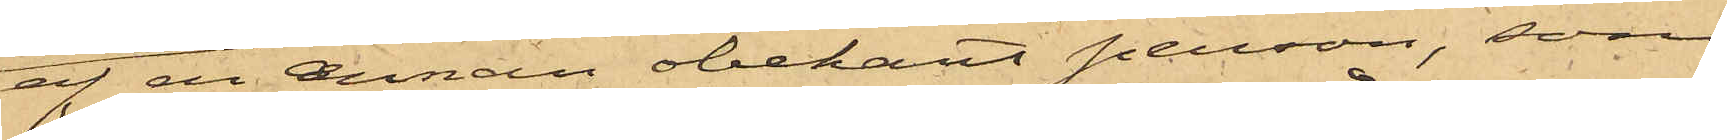af en annan obekant person, som
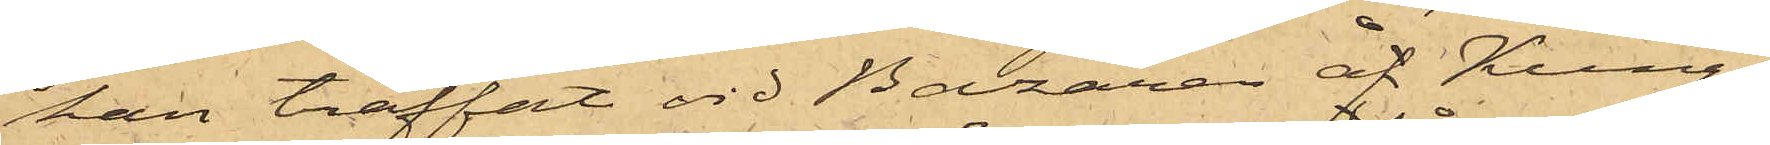han träffat vid Bazaren åf Kungs¬
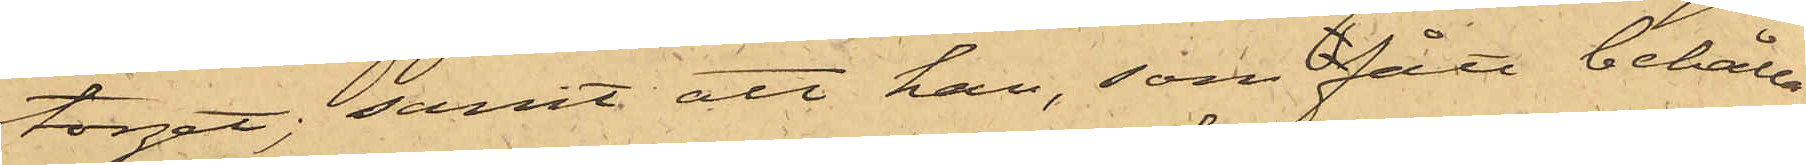torget; samt att han, som fått behålla
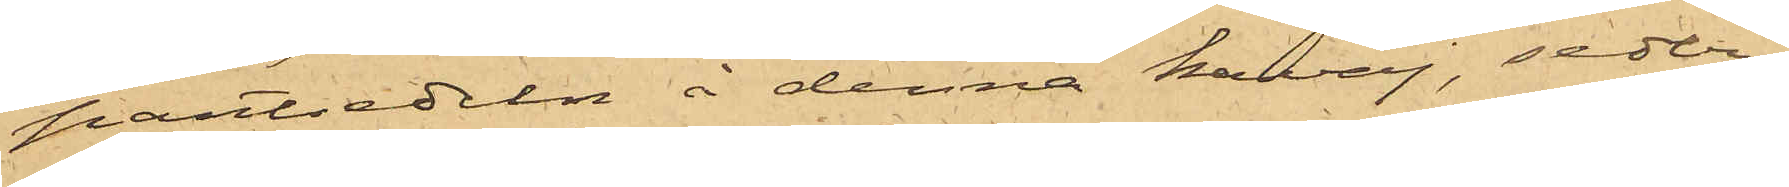pantsedeln å denna kavaj, seder¬
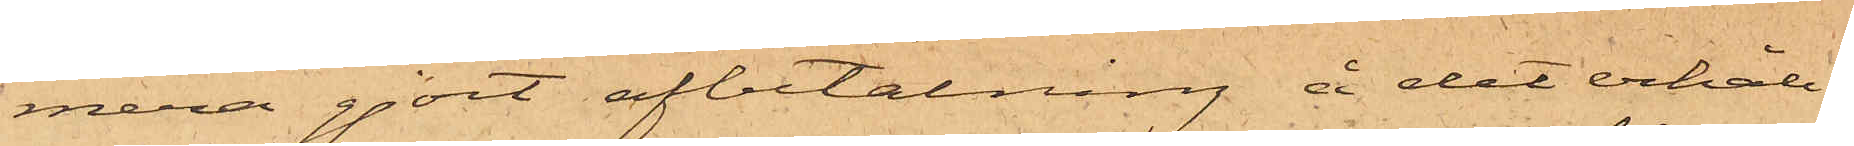mera gjort afbetalning å det erhåll¬
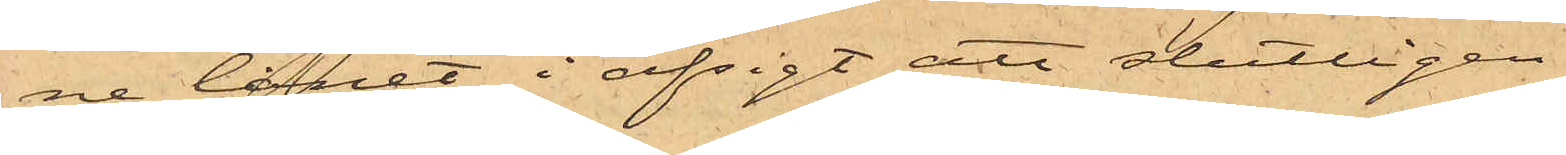ne lånet i afsigt att slutligen
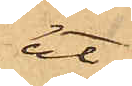ut¬
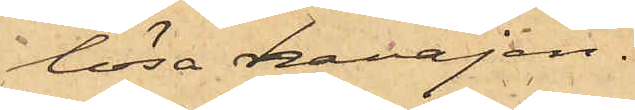lösa kavajen.
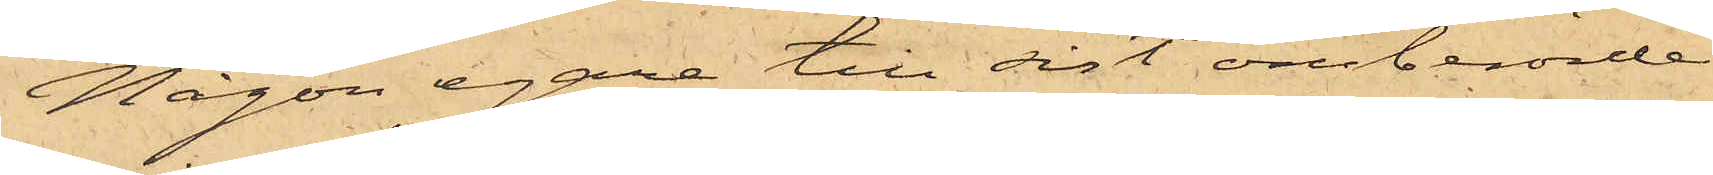Någon egare till sist omberörde
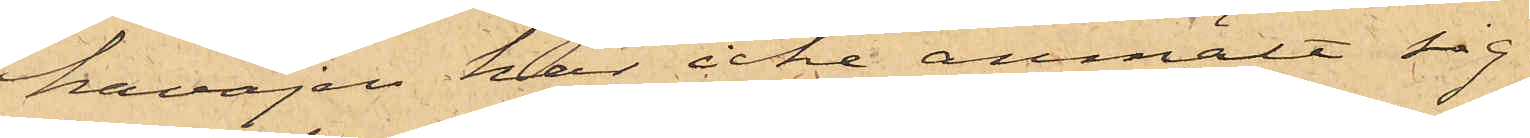kavajen har icke anmält sig.
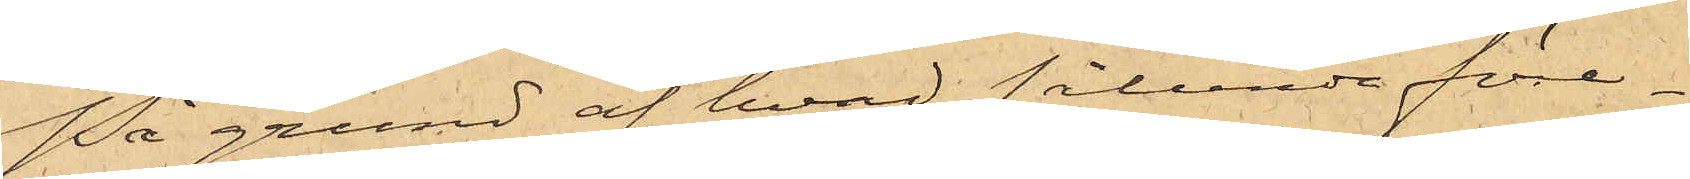På grund af hvad sålunda före¬
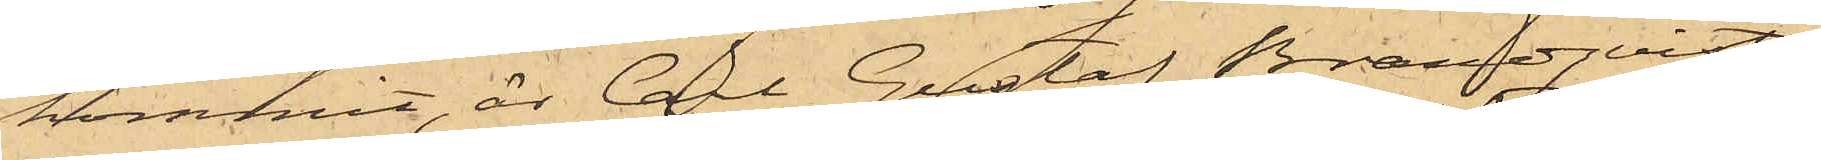kommit, är Carl Gustaf Brandqvist
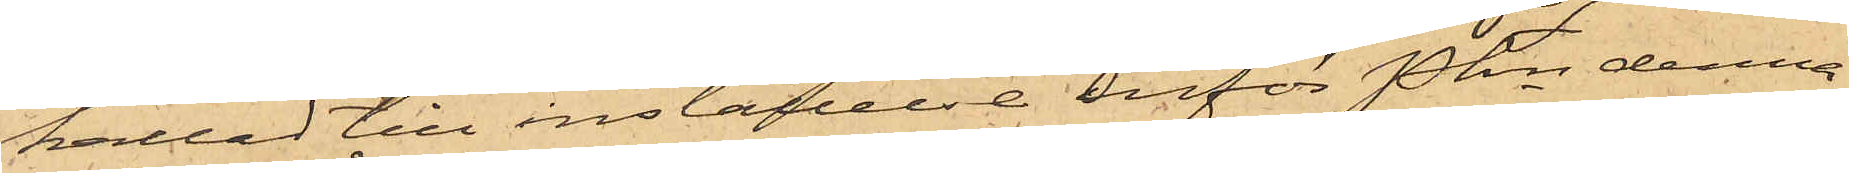kallad till inställelse inför Pkn denna
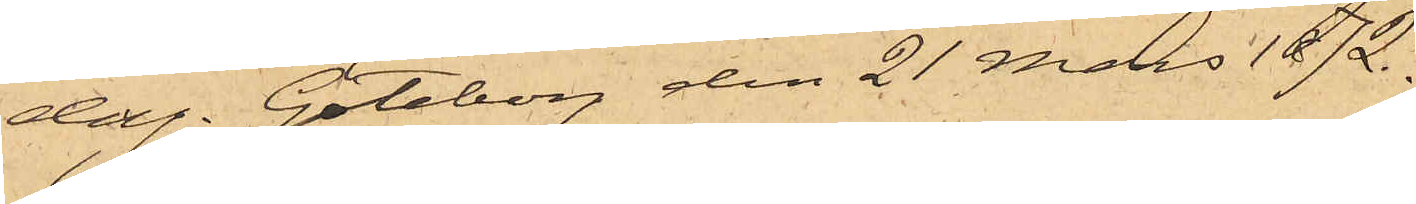dag. Göteborg den 21 Mars 1872.
